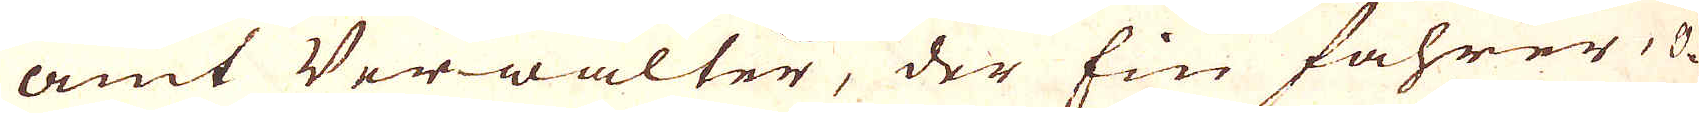amt Verwalter, der fin fahrer, O-
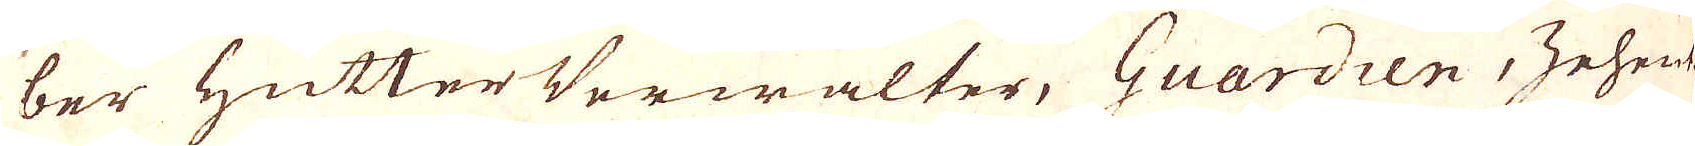ber Hütter Verwalter, Guardien, Zehen-
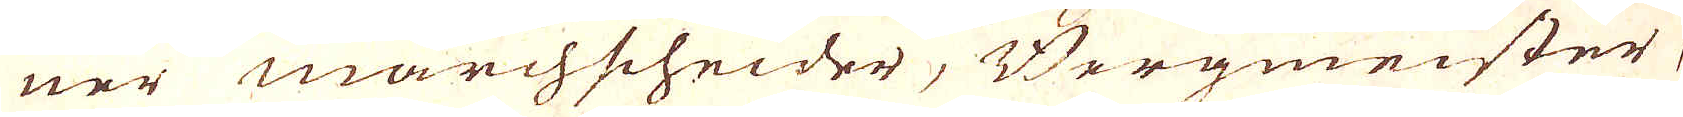ner marchscheider, Bergmeister,
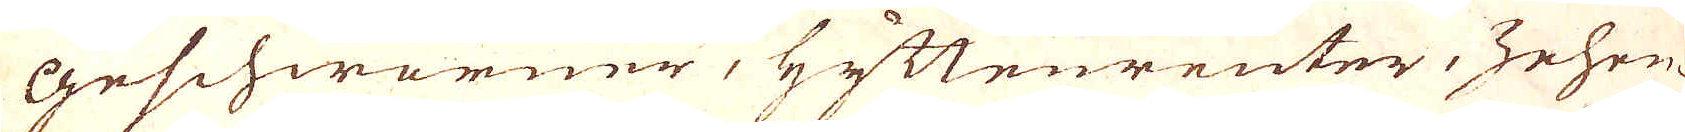Geschworner, Hyttenreuter, Zehen-
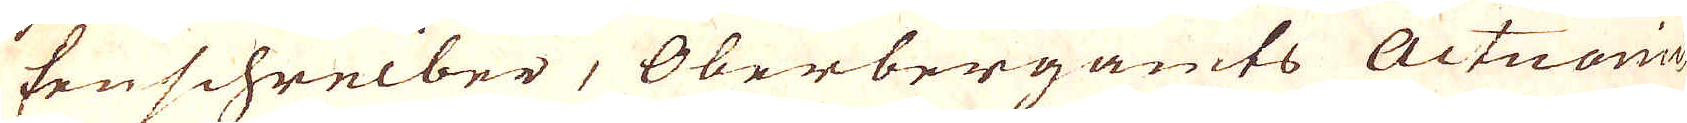ten schreiber, Oberbergamts Actuarie,
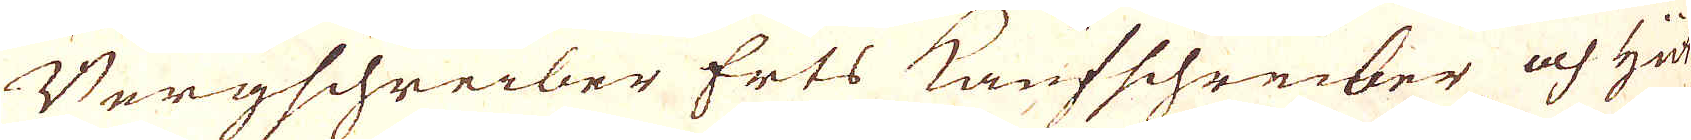Bergschreiber Erts Kaupfschreiber och hüt-
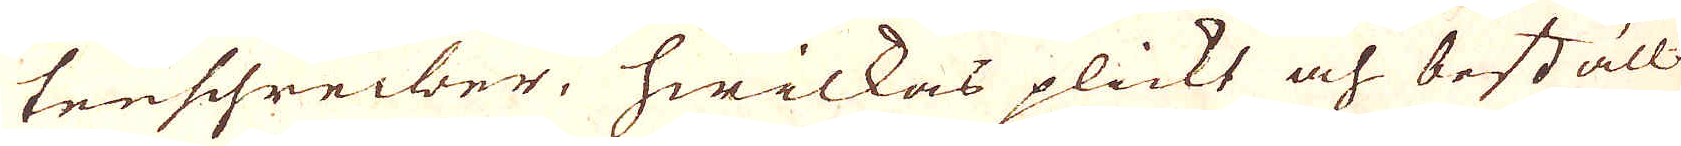tenschreiber, hwilkas plickt och boställ-
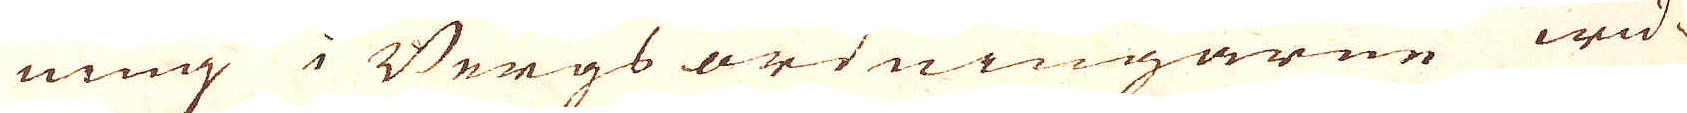ning i Bergs ordningarne wid-
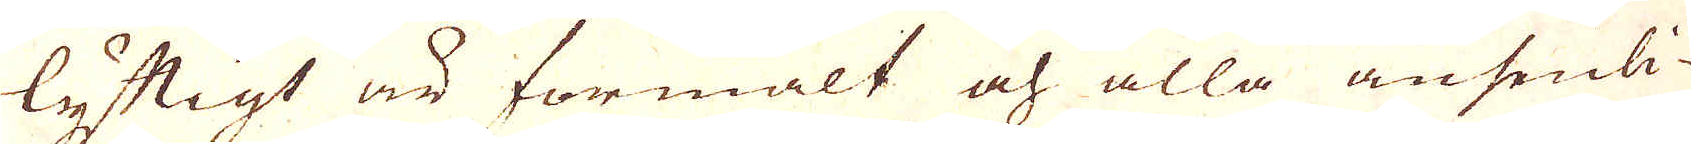lyftigt är förmält och alla ansenli-
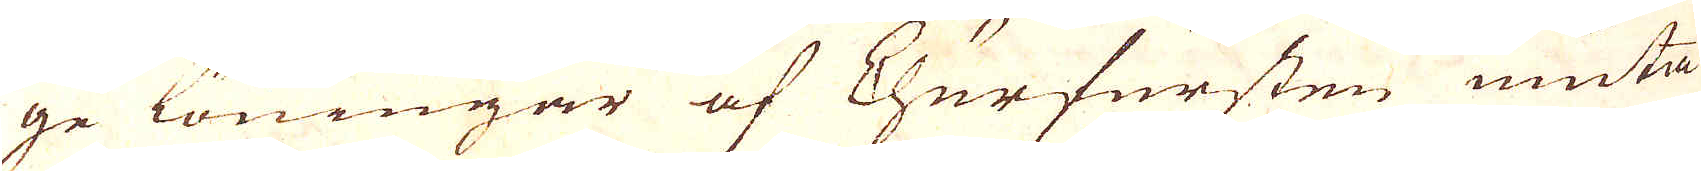ge löningar af Churfursten niuta.
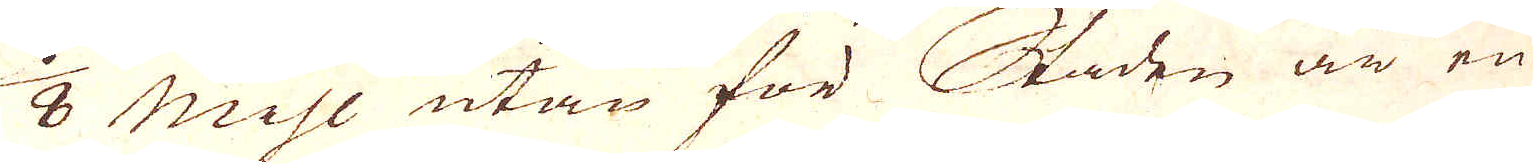1/8 Mihl utan för Staden är en
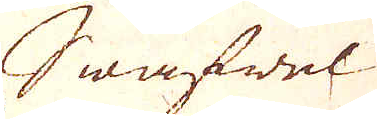Swafwel
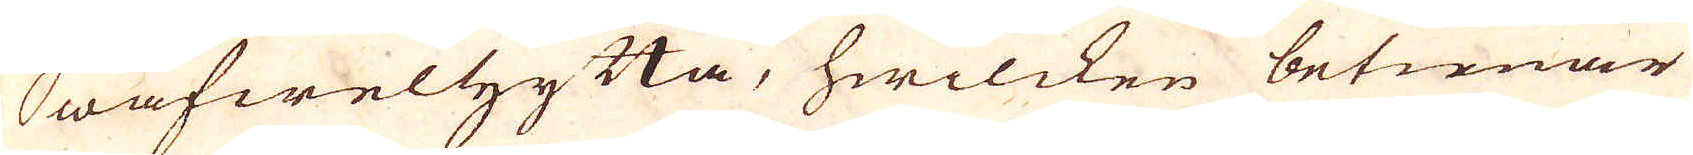Swafwelhytta, hwilcken betienar
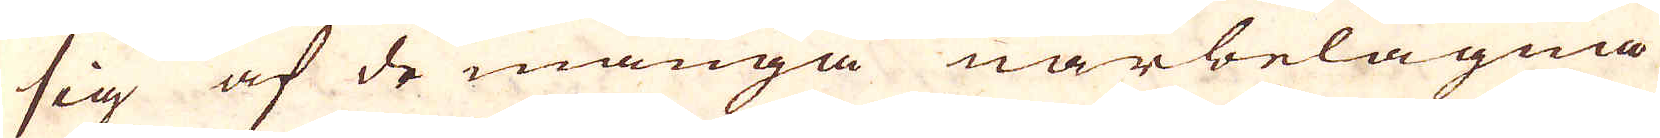sig af de många närbelägna
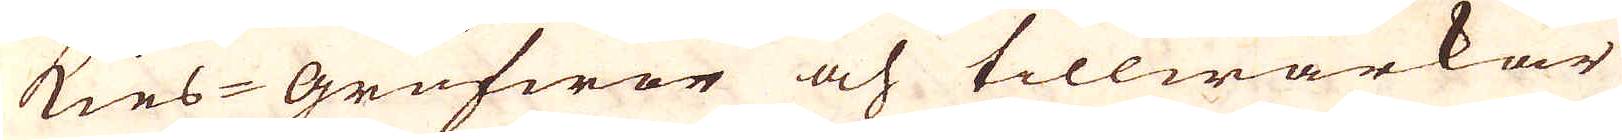Kies-Grufwor och tillwärkar
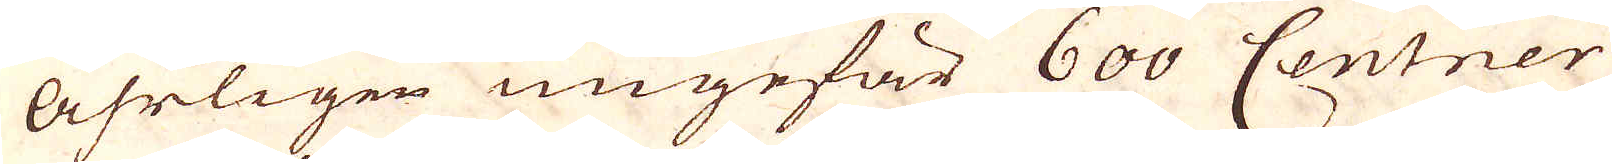åhrligen ungefär 600 Centner
